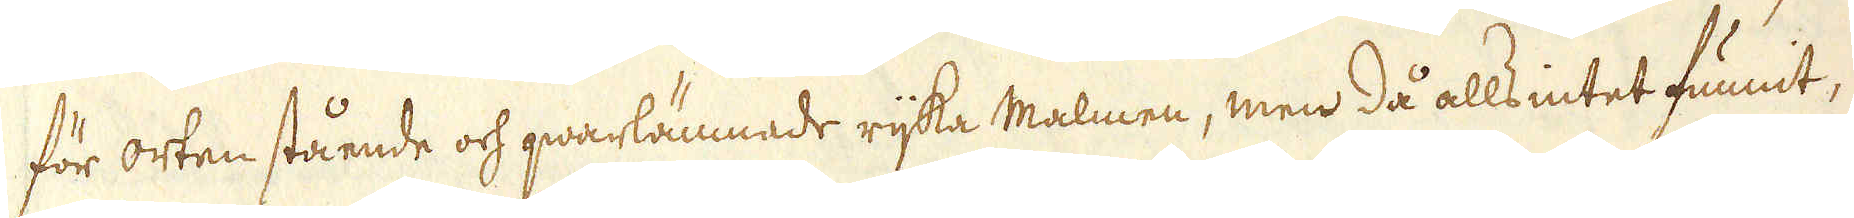för orten stående och qwarlämnade rijka Malmen, men då alls intet funnit,
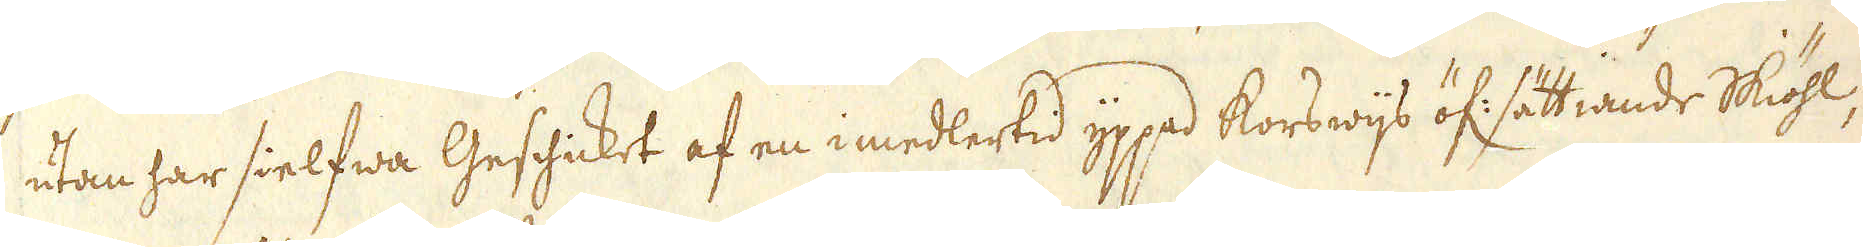utan har sielfwa Geschicket af en i medlertid yppad korswijs öf: sättiande Skiöhl-
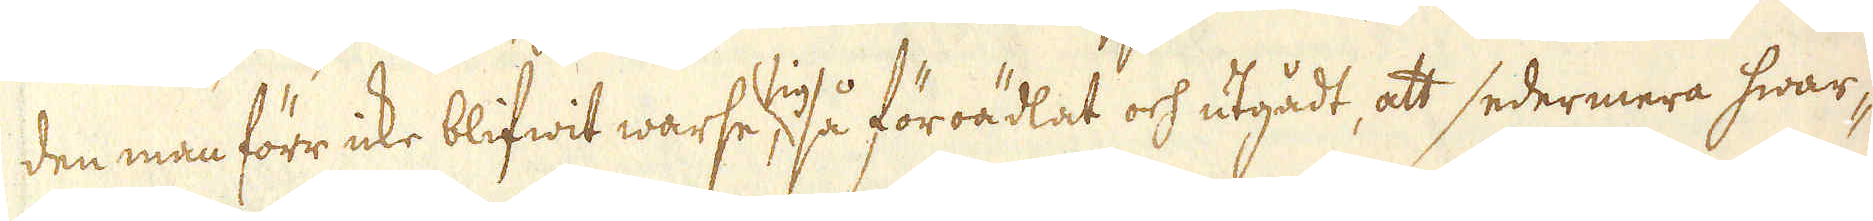den man förr icke blifwit warse i så föroädlat och utgådt, att sedermera hwar-
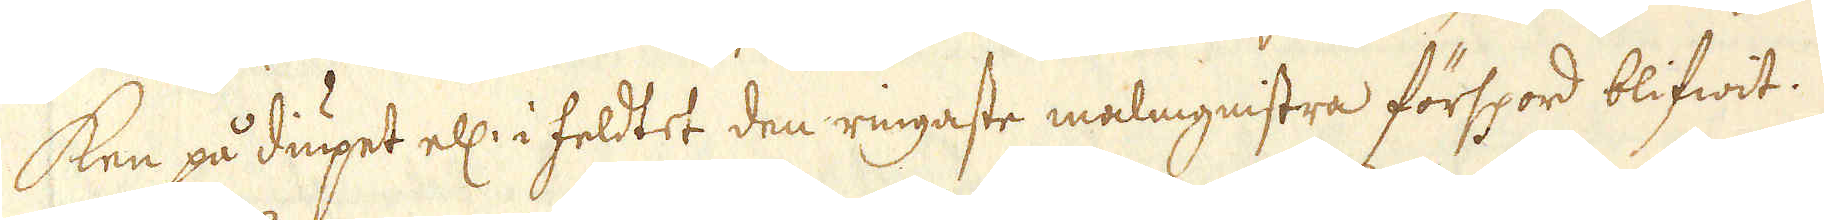ken på diupet ell: i feldtet den ringaste malmgnistra förspord blifwit.
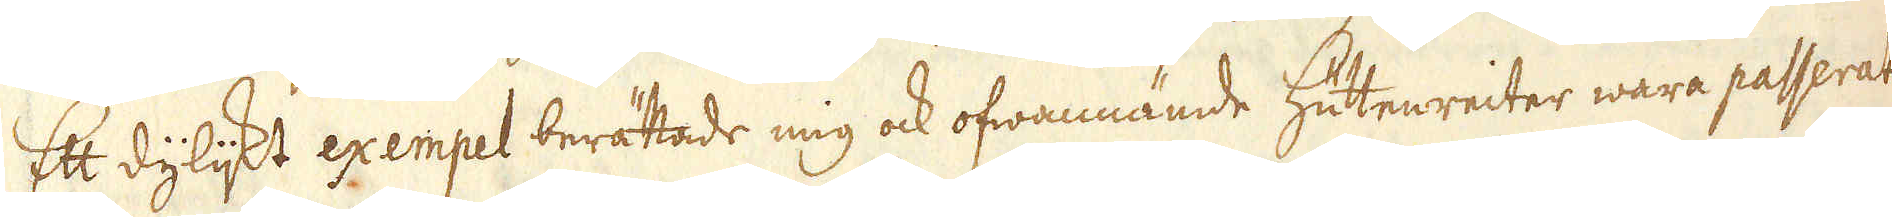Ett dylijkt exempel berättade mig ock ofwannämde Hüttenreiter wara passerat
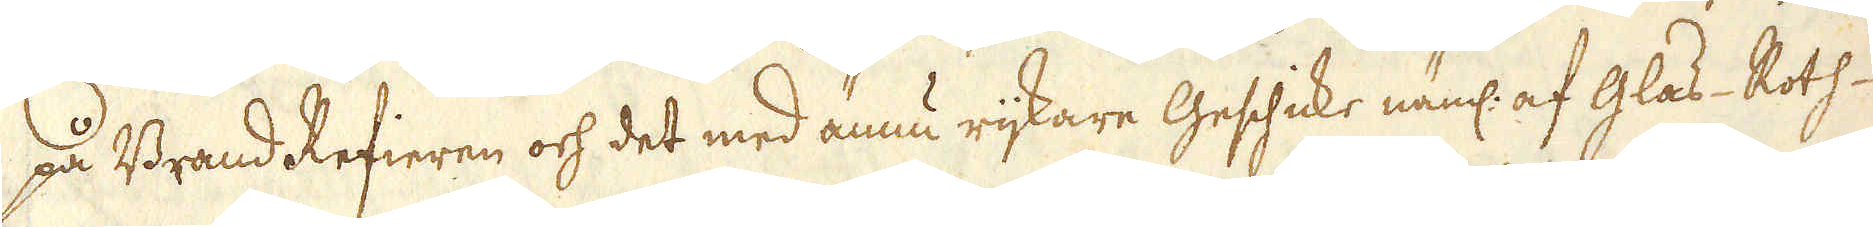på Brand Refieren och det med ännu rijkare Geschicke näml: af Glas- Roth-
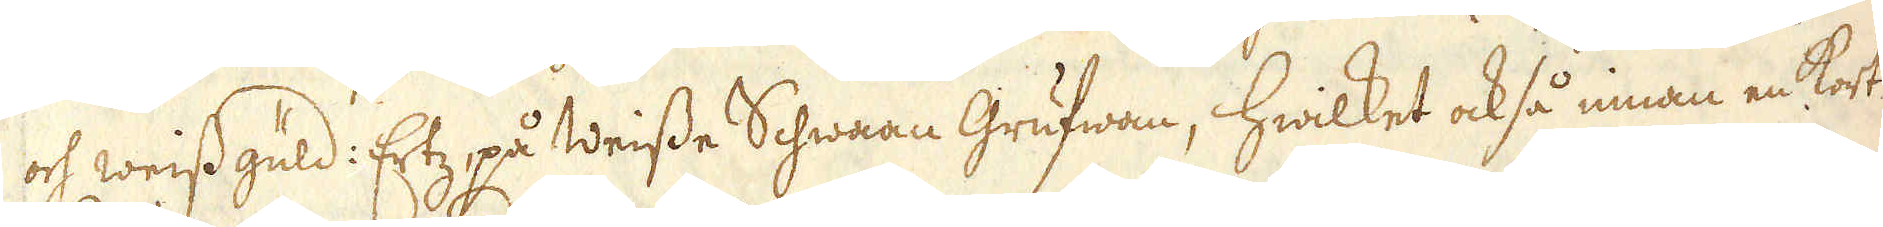och weissgüld: Ertz på Weisse Schwaan Grufwan, hwilket också innan en kort
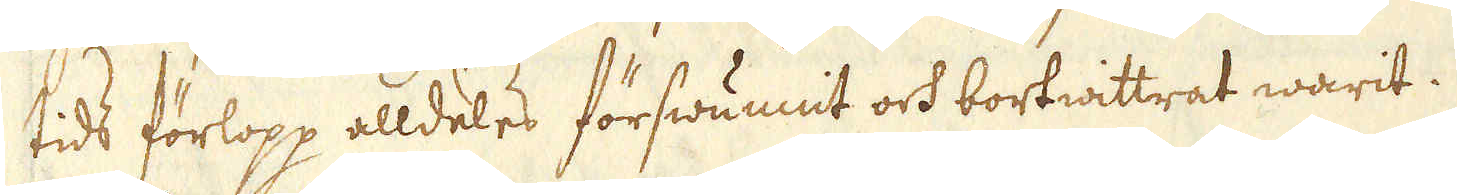tids förlopp alldeles förswunnit och bortwittrat warit.
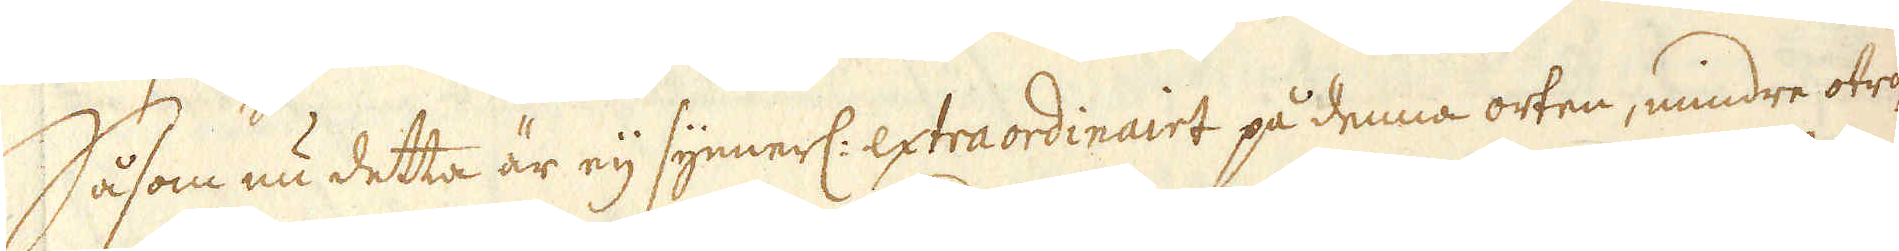Såsom nu detta är eij synnerl: extraordinairt på denna orten, mindre otro-
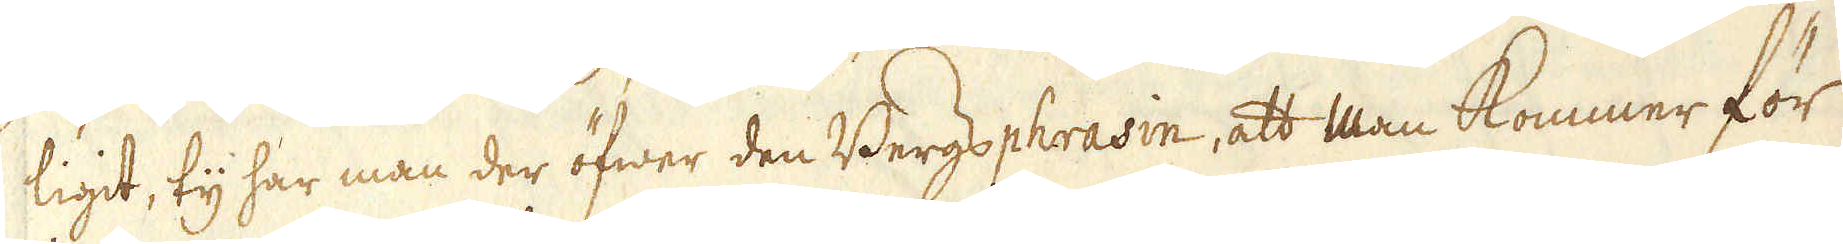ligit, ty har man der öfwer den Bergsphrasin, att man kommer för
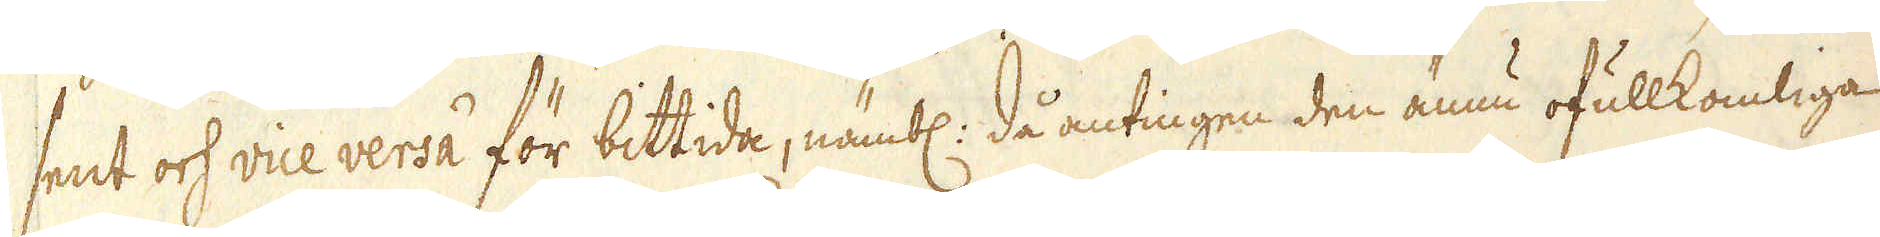sent och vice versa för bittida, nämbl: då antingen den ännu ofullkomliga
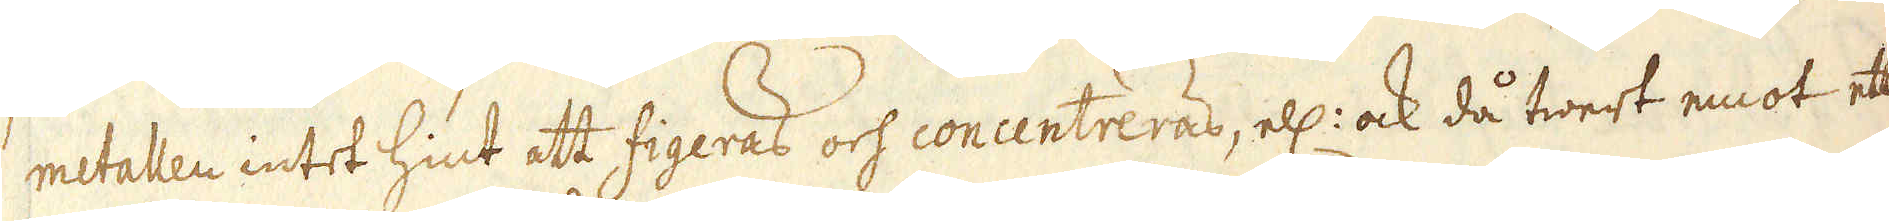metallen intet hint att figeras och concentreras, ell: ock då twert emot ett
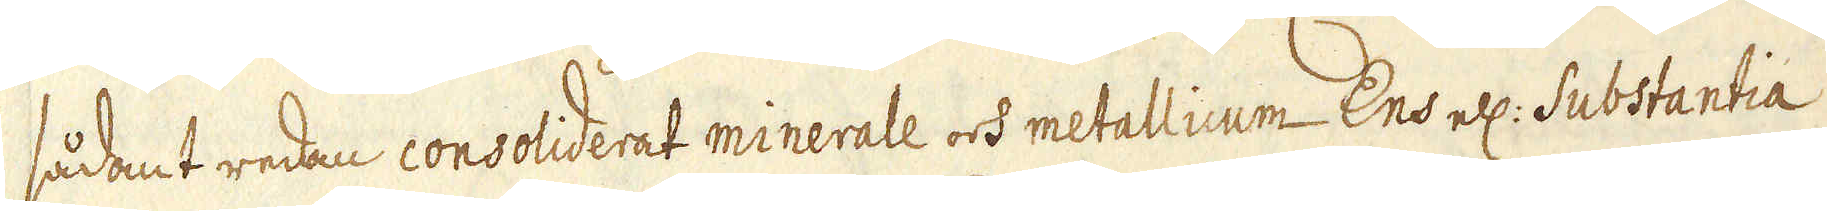sådant redan consoliderat minerale och metallicum Ens ell: Substantia
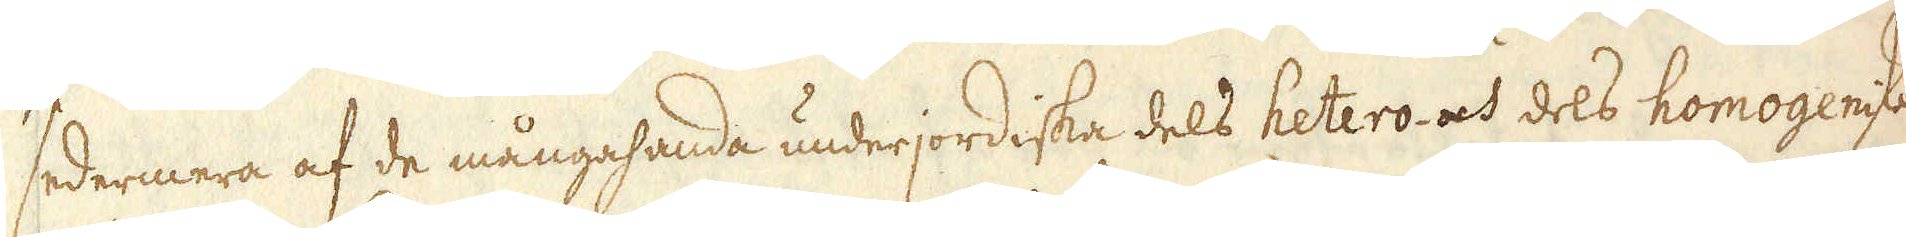sedermera af de mångahanda underjordiska dels hetero- och dels homogeniske
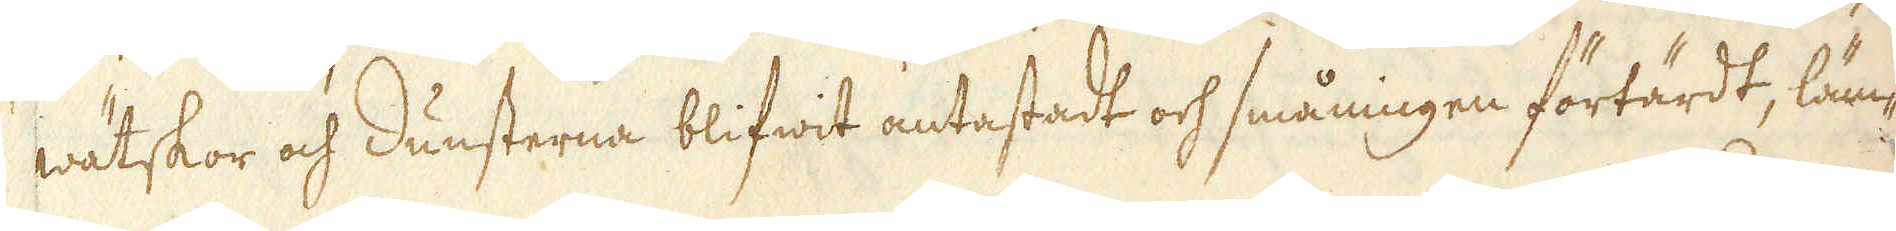wätskor och dunsterna blifwit antastadt och småningen förtärdt, läm-
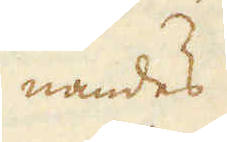nandes
